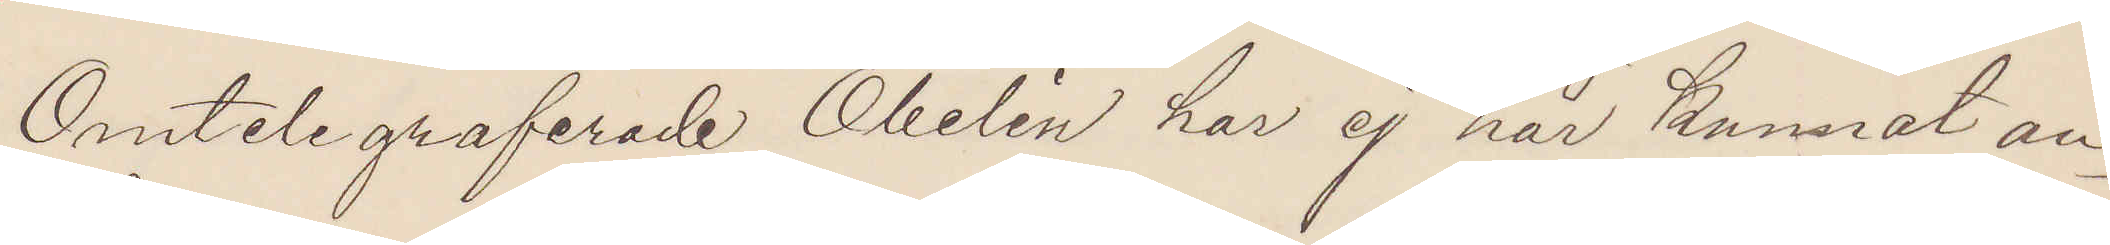Omtelegraferade Obelin har ej här kunnat an¬
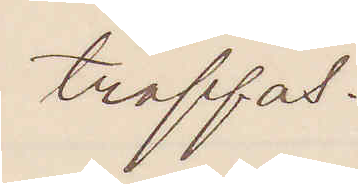träffas.
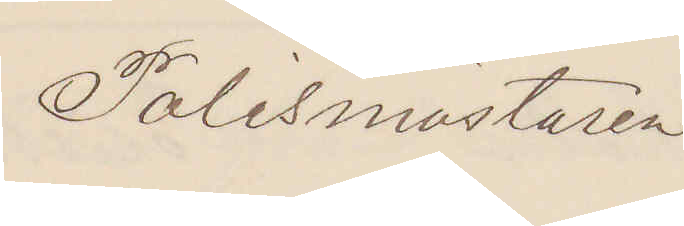Polismästaren.
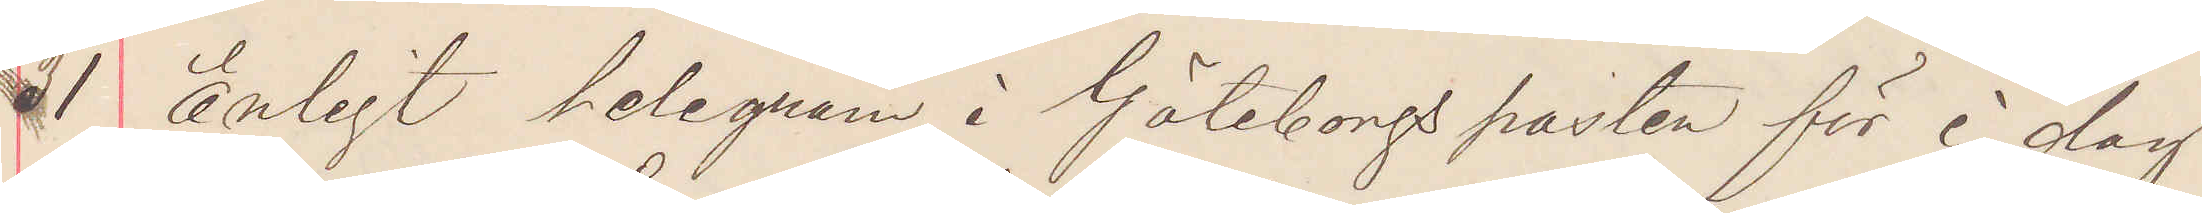31 Enligt telegram i Göteborgs posten för i dag
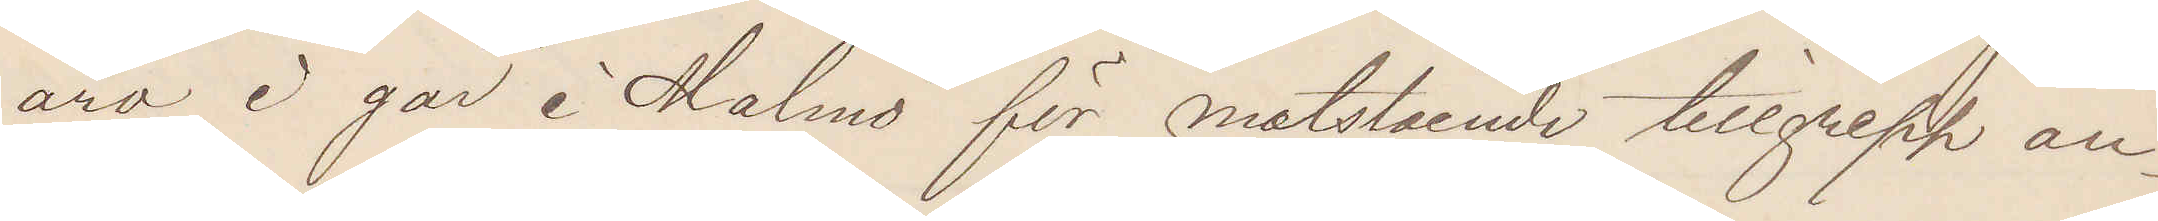äro i går i Malmö för motstående tillgrepp an¬
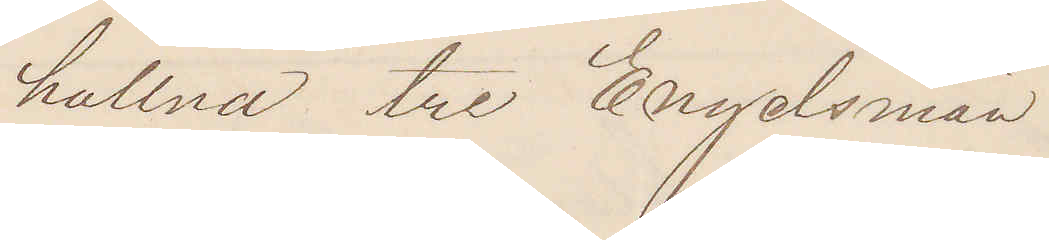hållna tre Engelsmän.
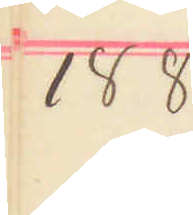1884
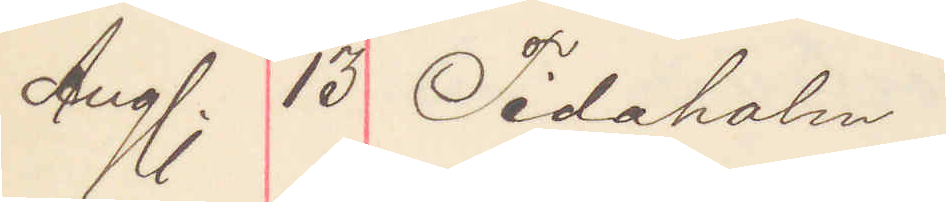Aug. 13 Tidaholm
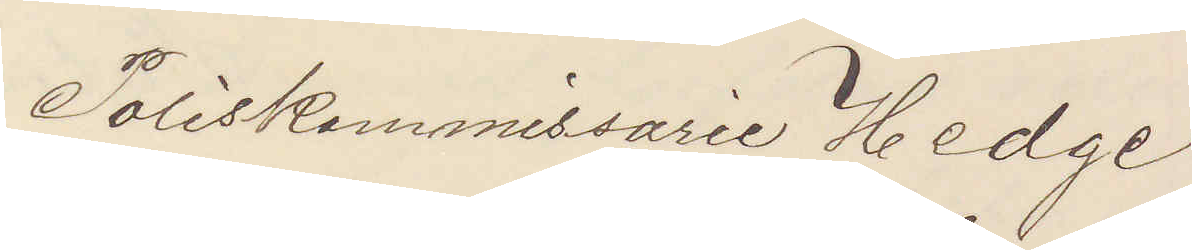Poliskommissarie Hedge
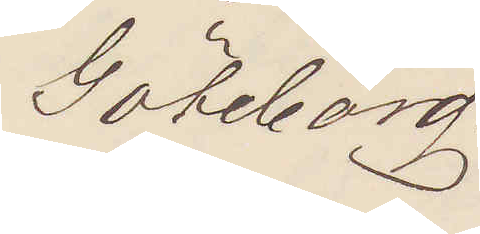Göteborg.
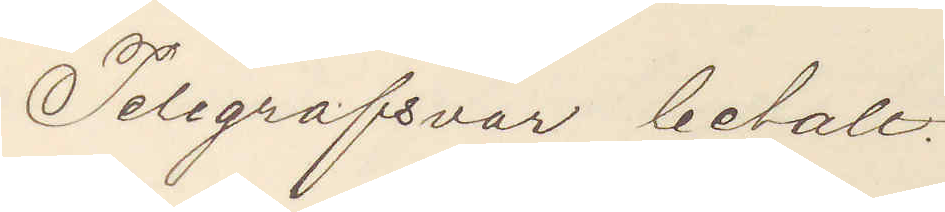Telgrafsvar betalt.
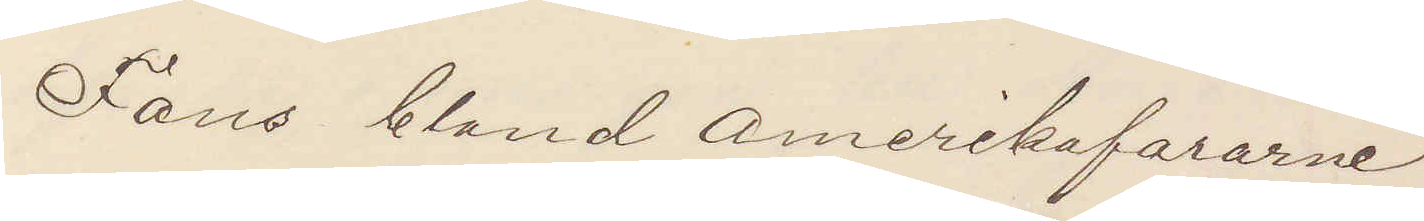Fans bland Amerikafararne
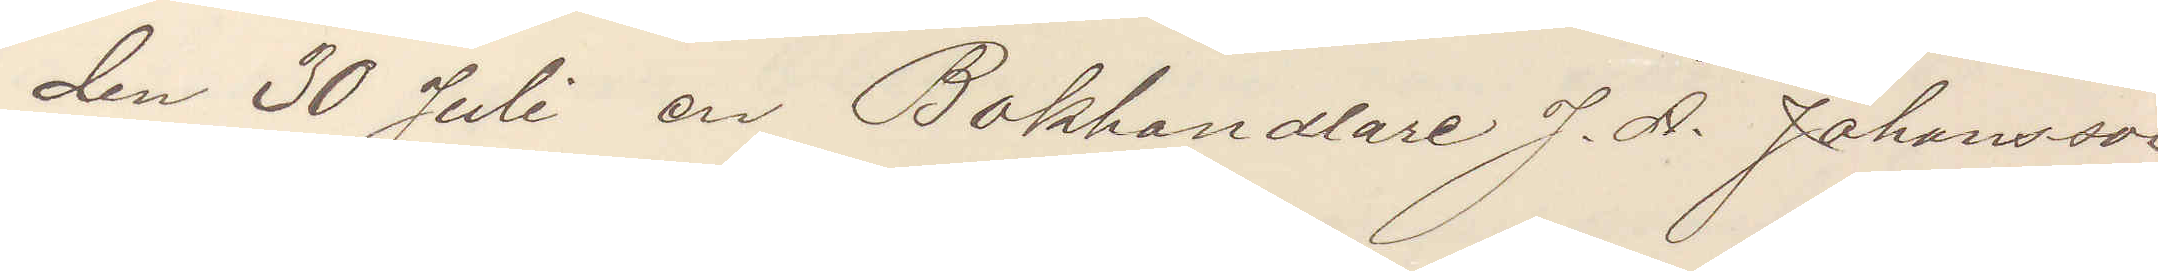den 30 Juli en Bokhandlare J. A. Johansson
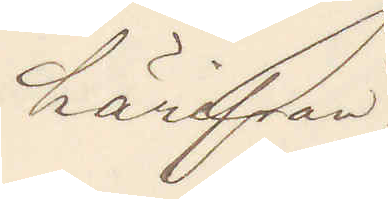härifrån.
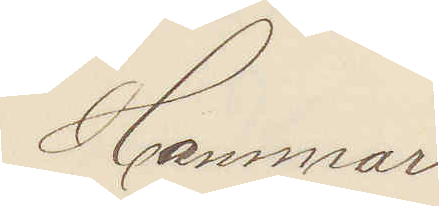Hammar.
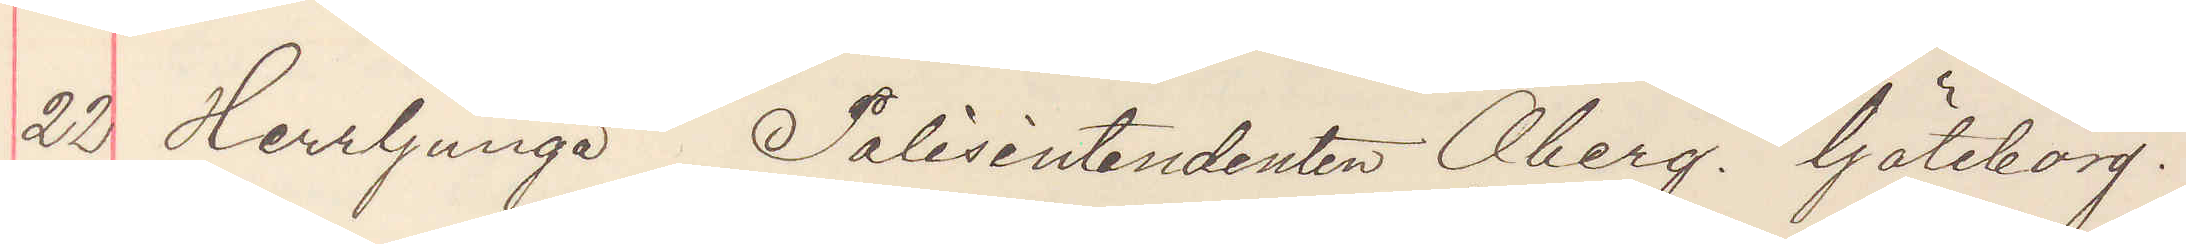22 Herrljunga  Polisintendenten Öberg. Göteborg.
